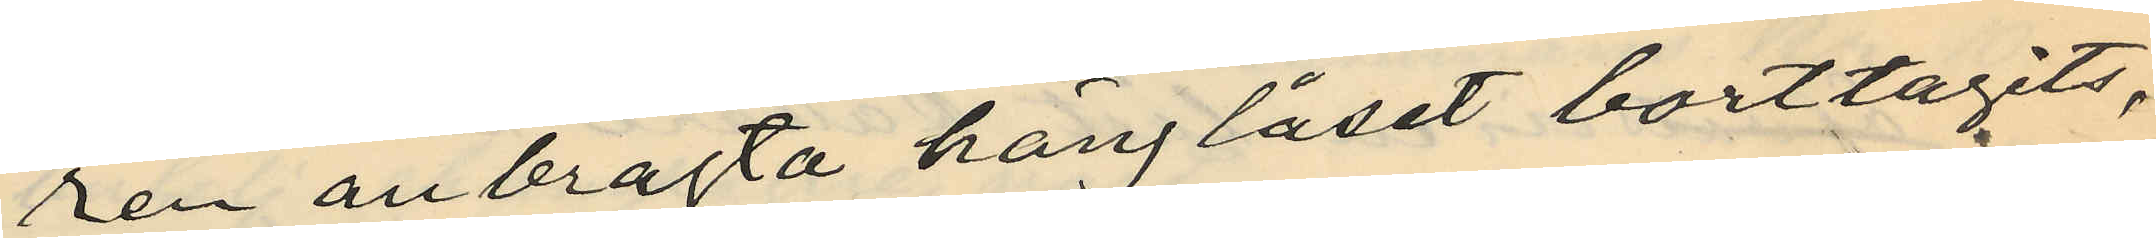ren anbragta hänglåset borttagits,
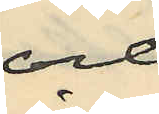och
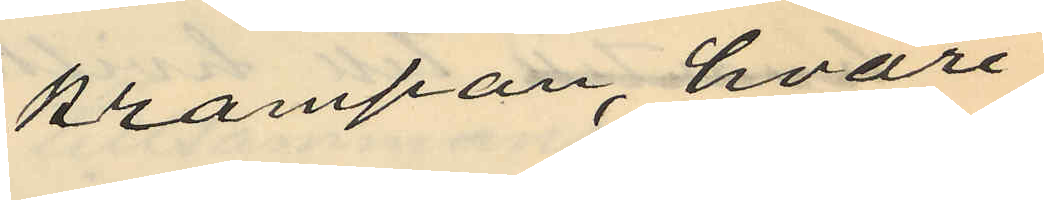krampan, hvari
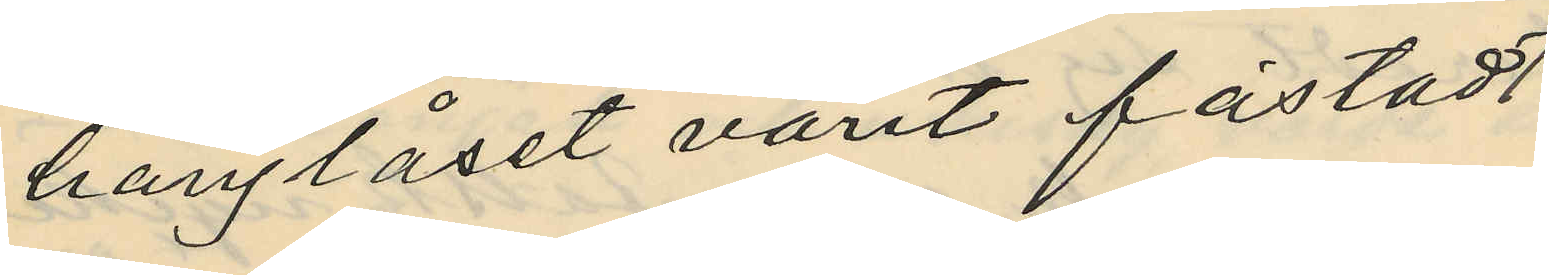hänglåset varit fästadt
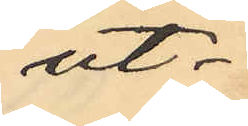ut¬
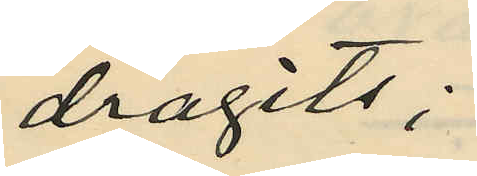dragits;
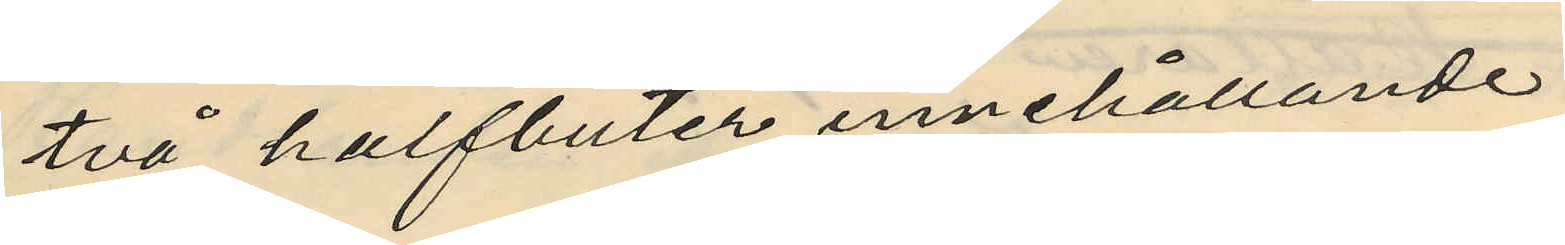två halfbuter innehållande
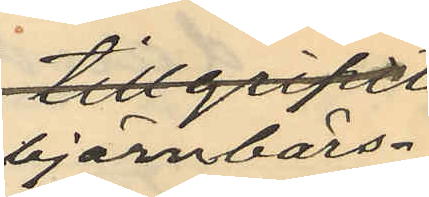björnbärs¬
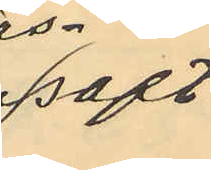saft
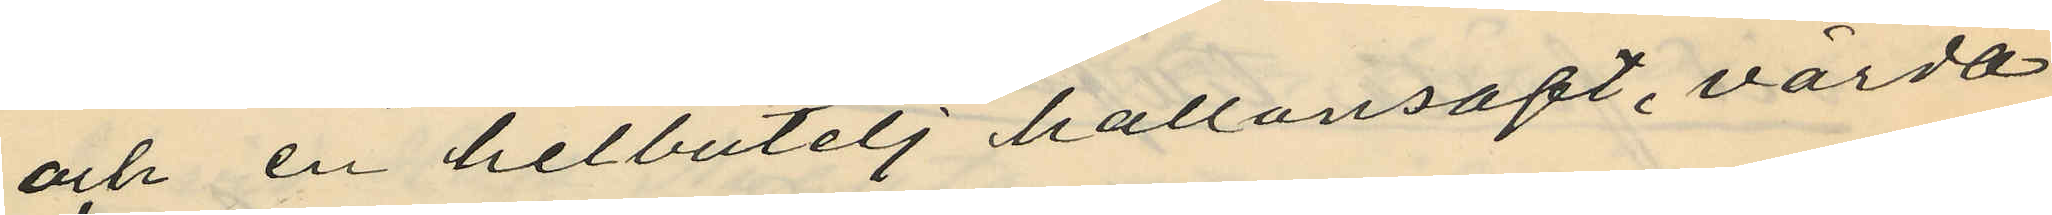och en helbutelj hallonsaft, värda
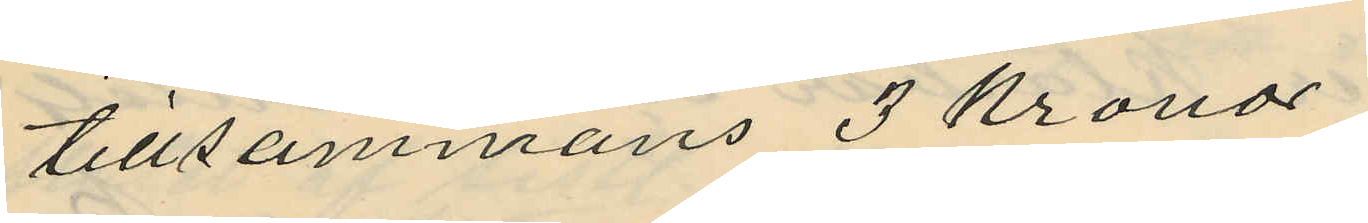tillsammans 3 Kronor
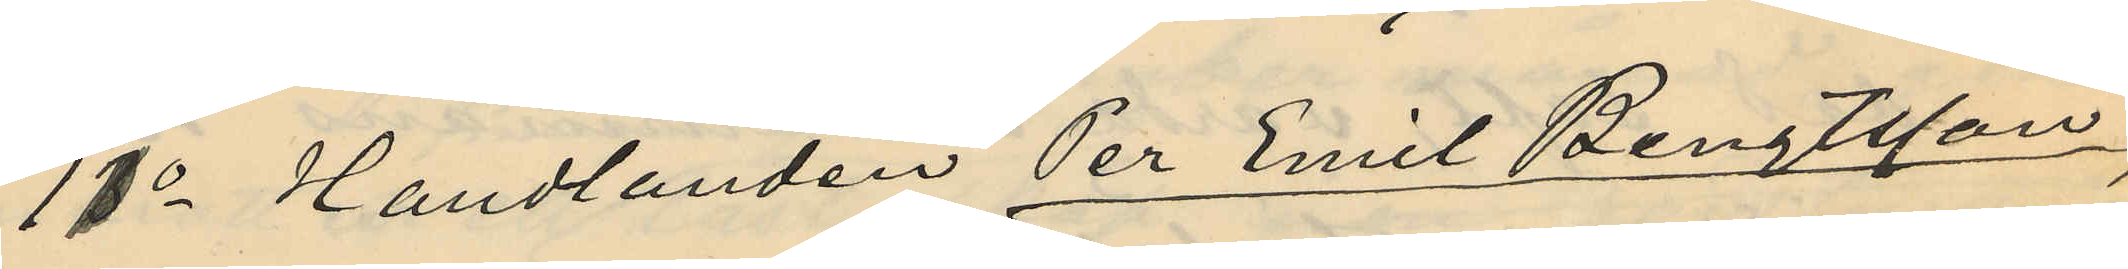11o Handlanden Per Emil Bengtsson,
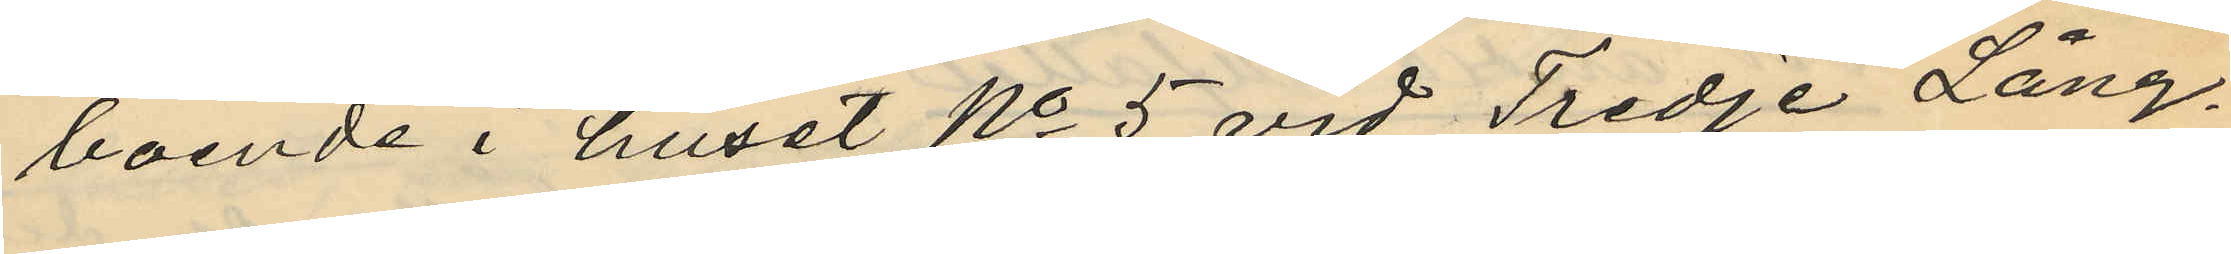boende i huset No 5 vid Tredje Lång¬
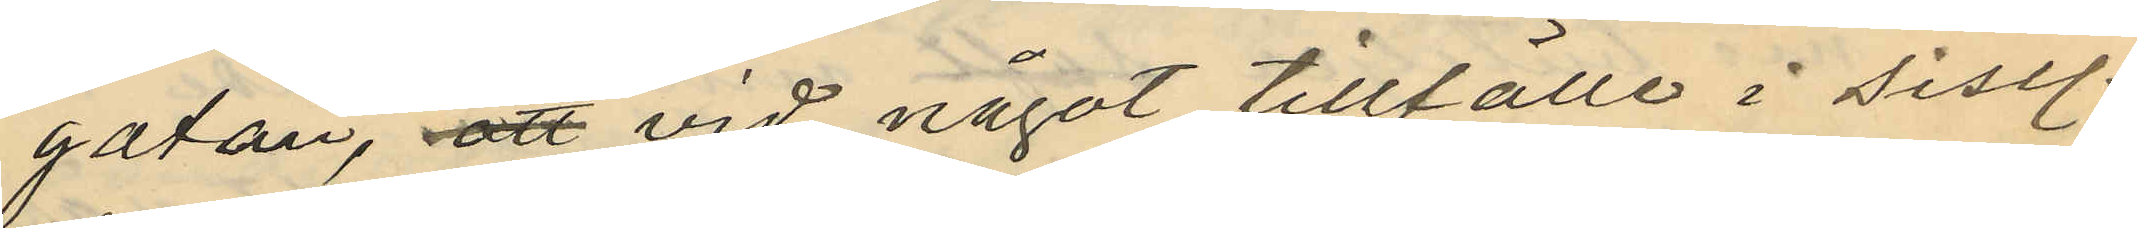gatan, att vid något tillfälle i sistl.
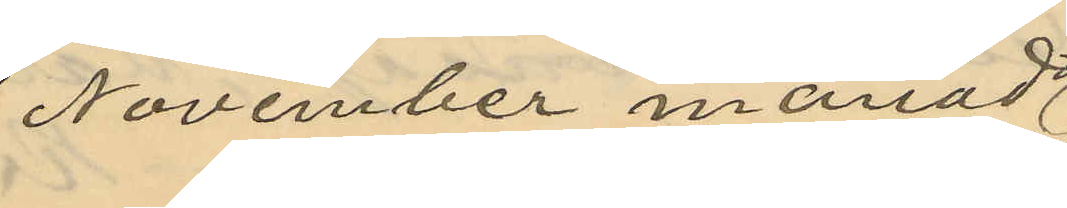November månad
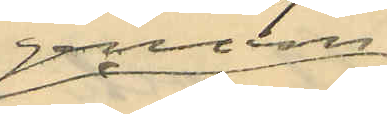genom
